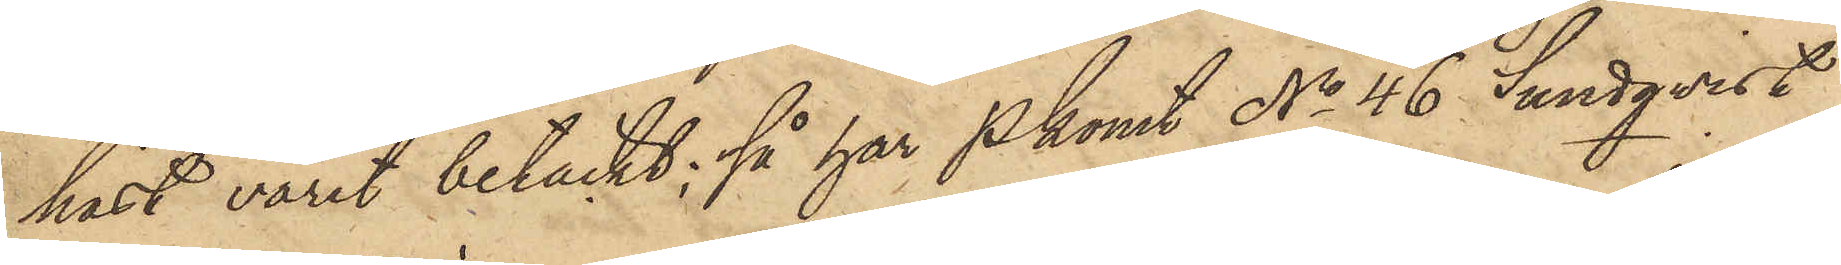häst varit betäckt; så har Pkonst No 46 Sundqvist
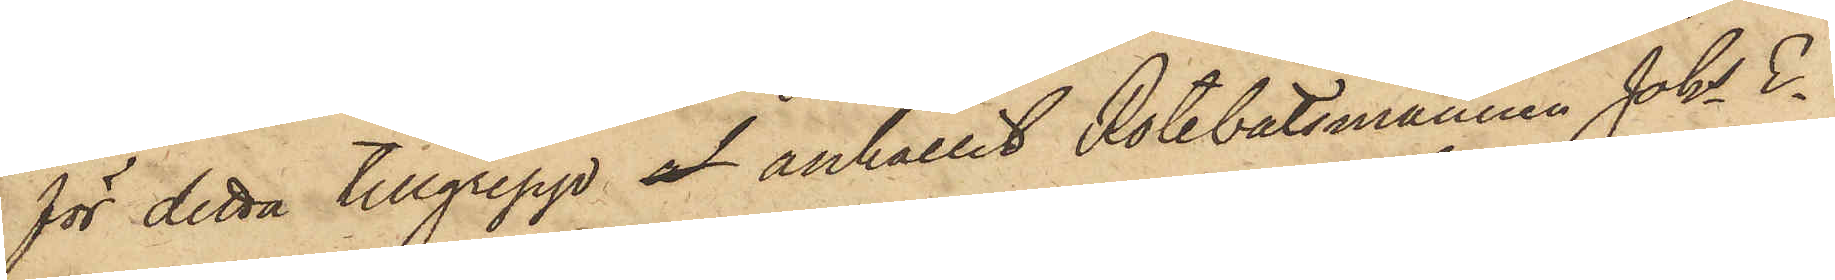för detta tillgrepp af anhållit Rotebåtsmannen Johs E¬
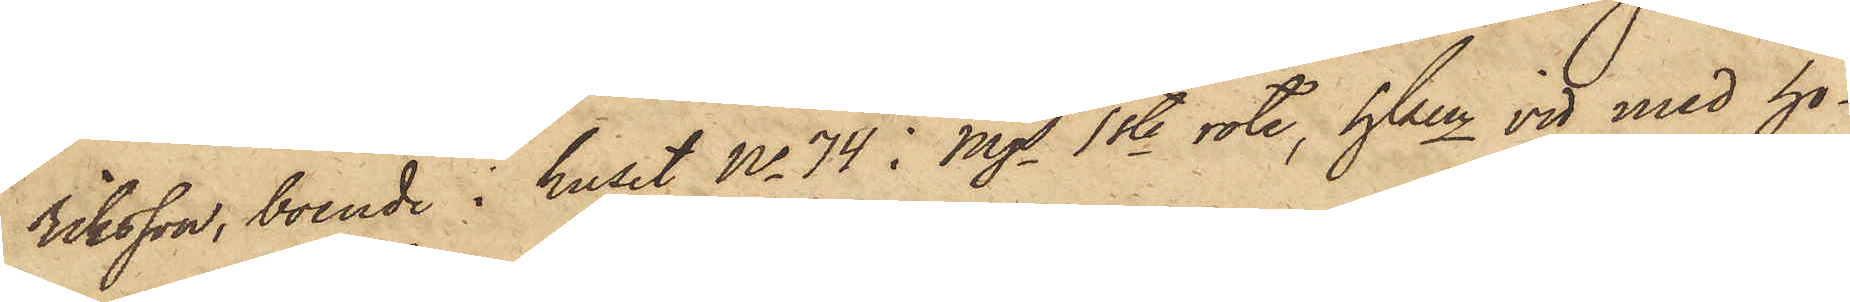riksson, boende i huset No 74 i Mjs 1ste rote, hken vid med ho¬
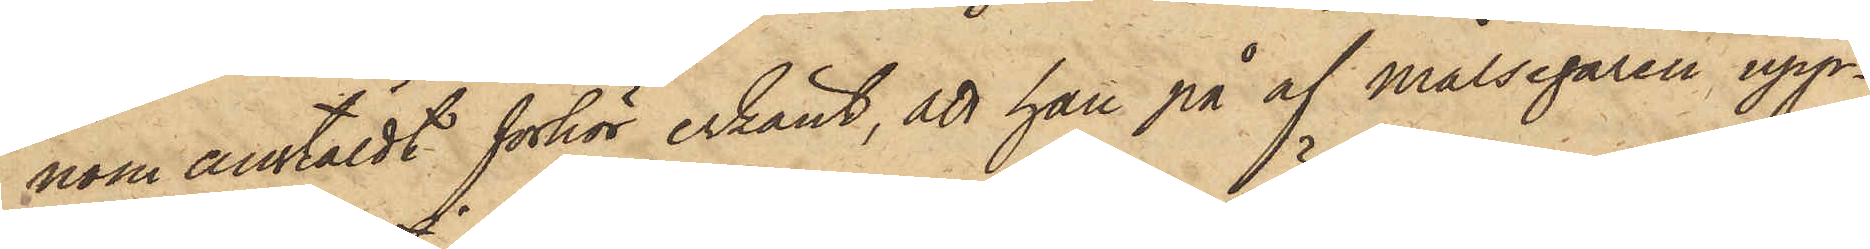nom anstäldt förhör erkänt, att han på af målsegaren upp¬
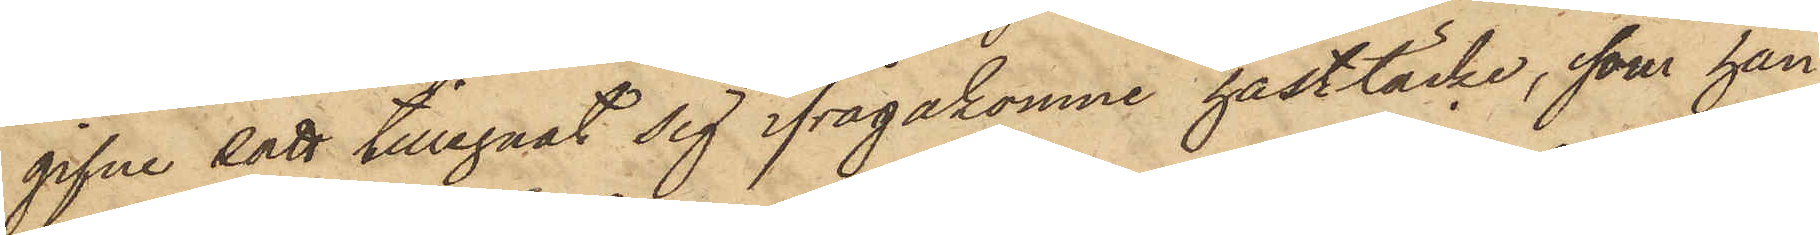gifne sätt tillegnat sig ifrågakomne hästtäcke, som han
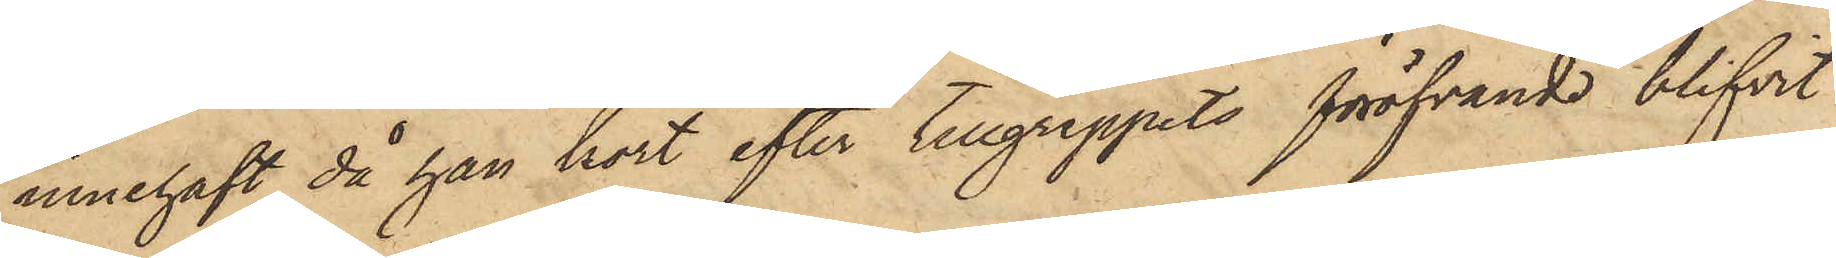innehaft då han kort efter tillgreppets föröfvande blifvit
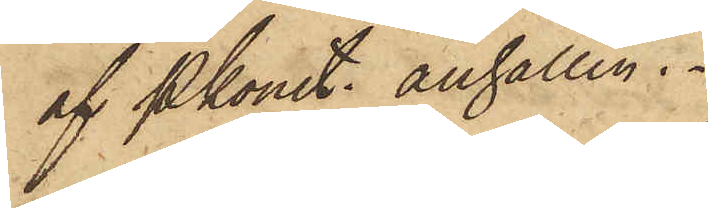af Pkonst. anhållen.
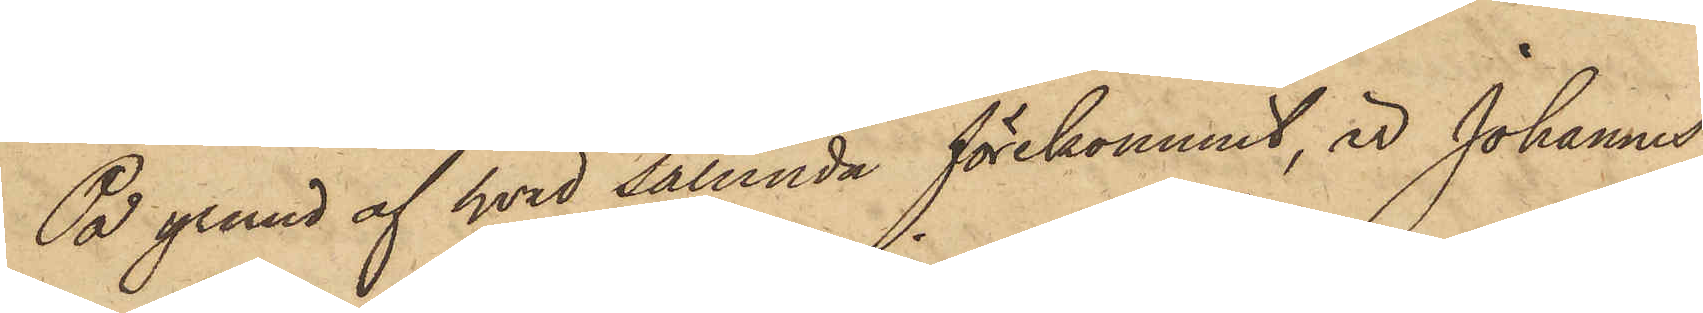På grund af hvid sålunda förekommit, är Johannes
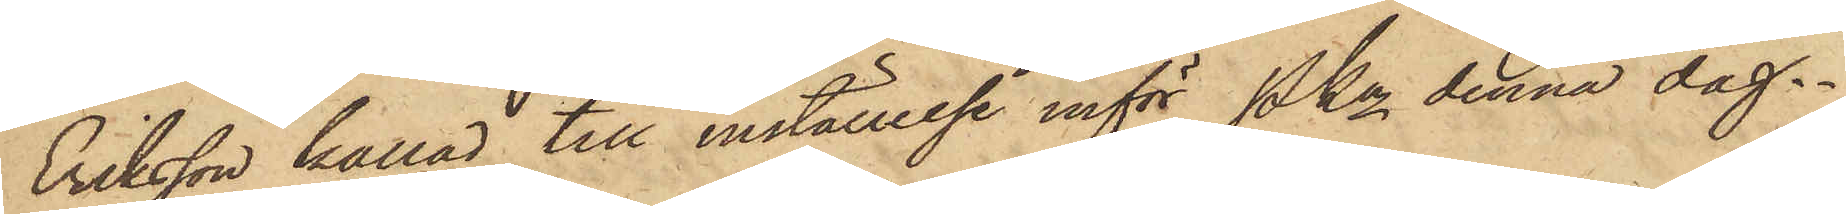Eriksson kallad till inställelse inför Pkn denna dag.
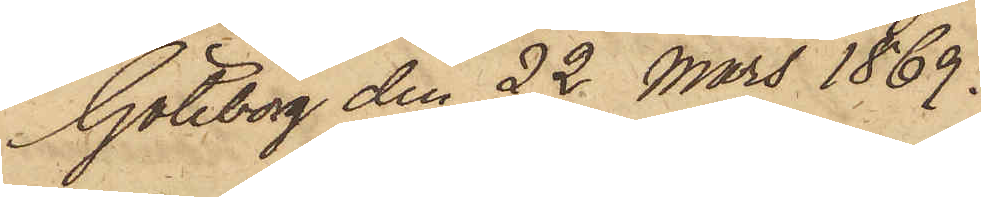Göteborg den 22 Mars 1869.
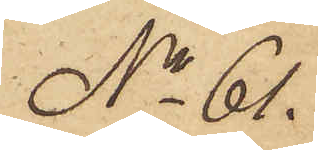No 61.
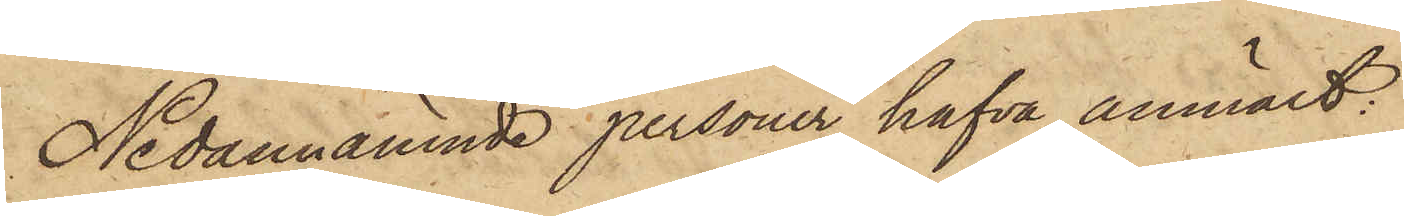Nedannämnde personer hafva anmält:
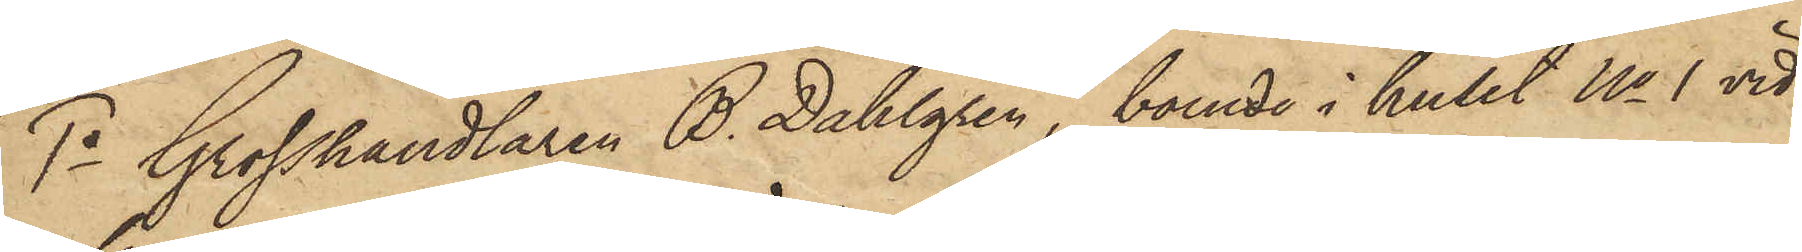1o Grosshandlaren B. Dahlgren, boende i huset No 1 vid
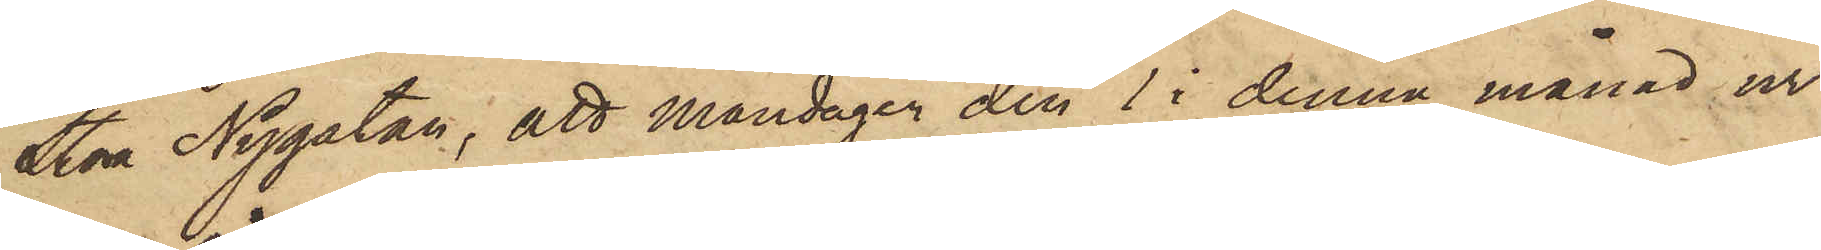Stora Nygatan, att Måndagen den 1 i denna månad ur
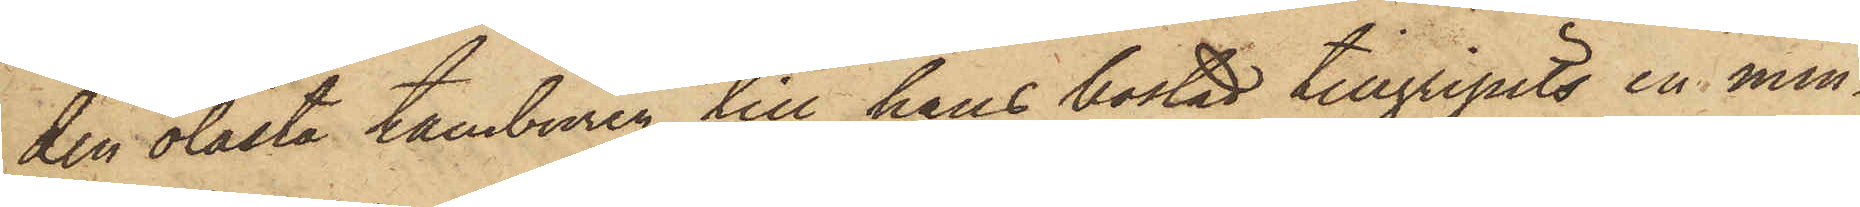den olåsta tamburen till hans bostad tillgripits en min¬
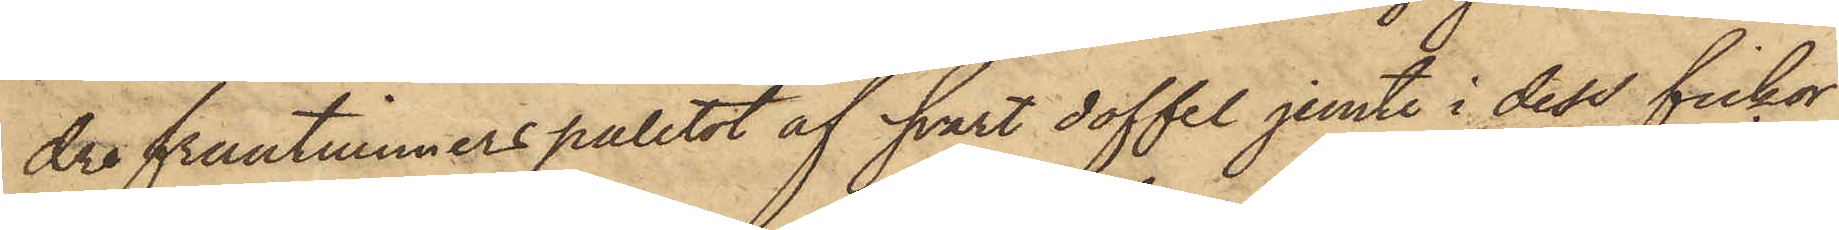dre fruntimmerspaletot af svart doffel jemte i dess fickor
